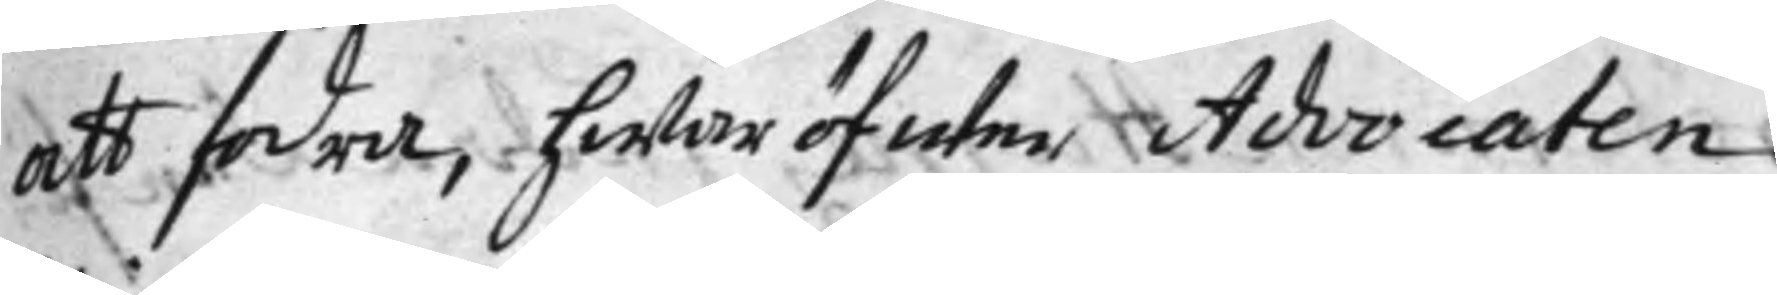att fodra, hwaröfwer Advocaten
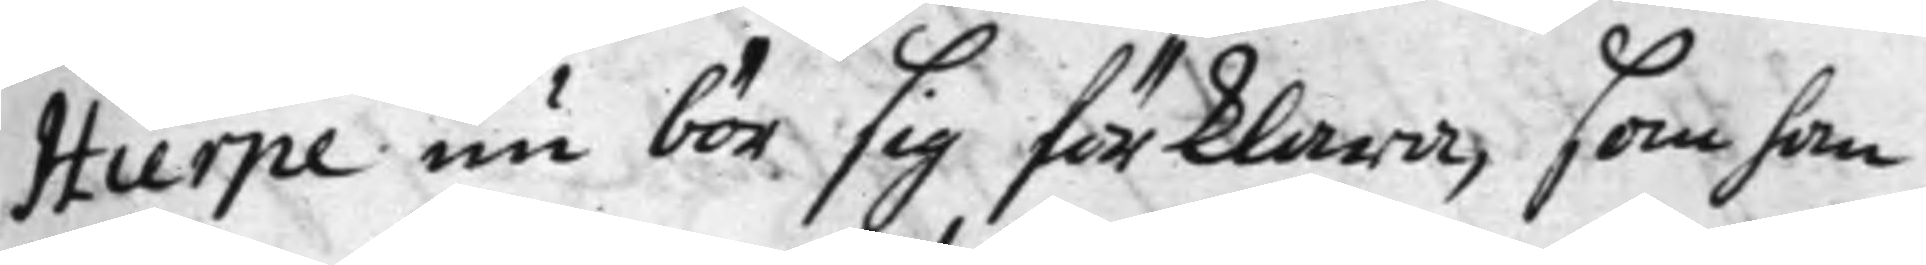Hierpe nu bör sig förklara, som han
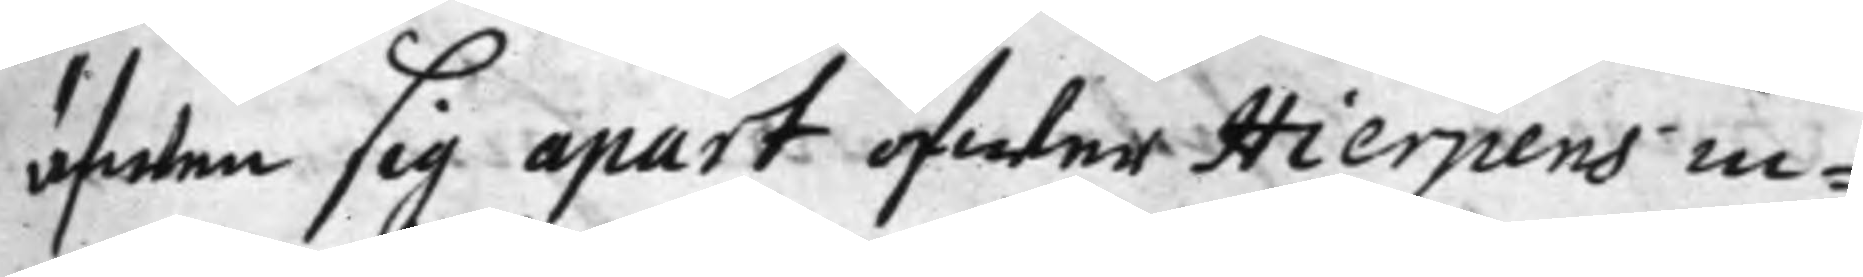äfwen sig apart öfwer Hierpens in¬
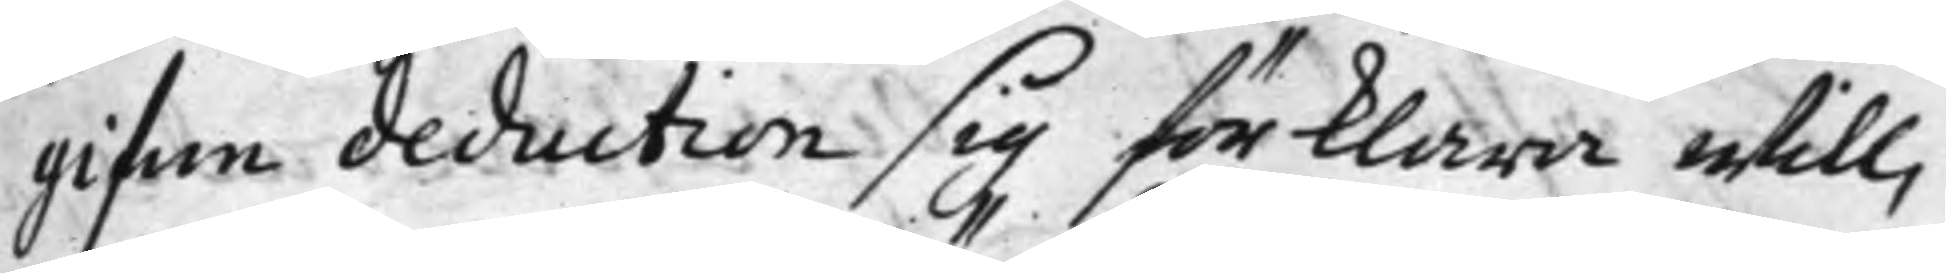gifne deduction sig förklara will,
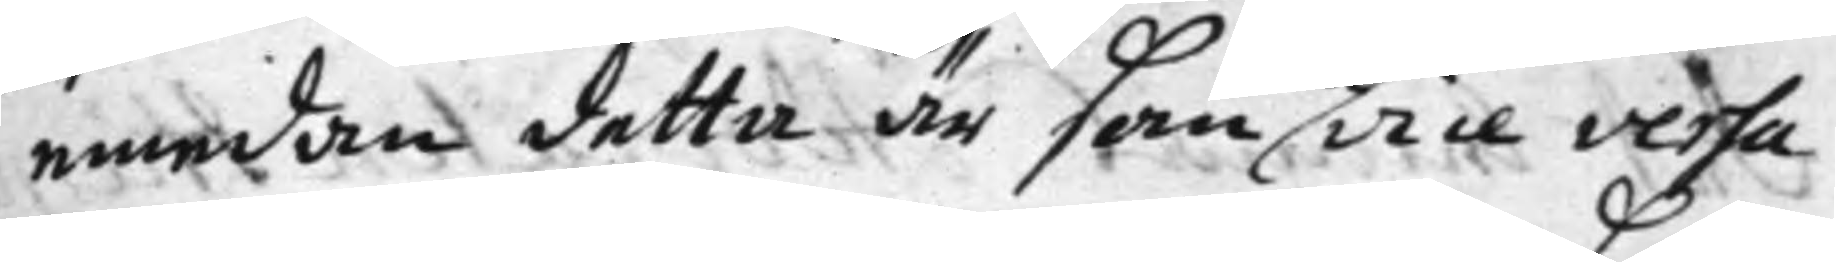emedan detta är som vice versa
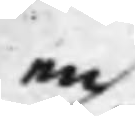en
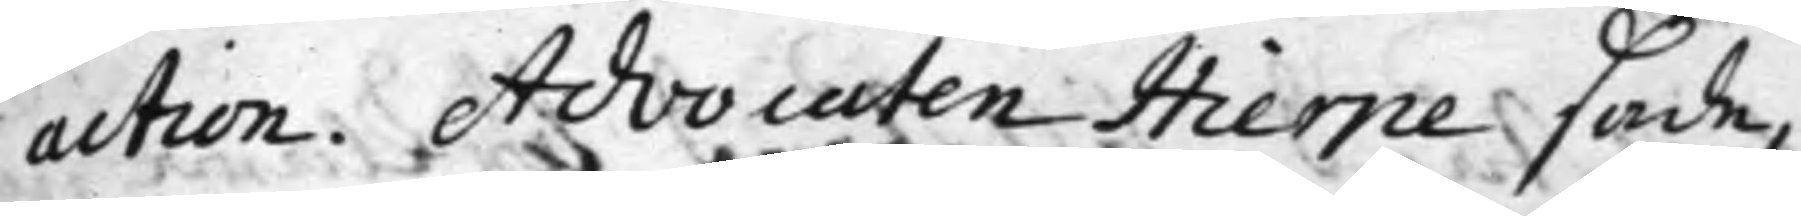action. Advocaten Hierpe sade,
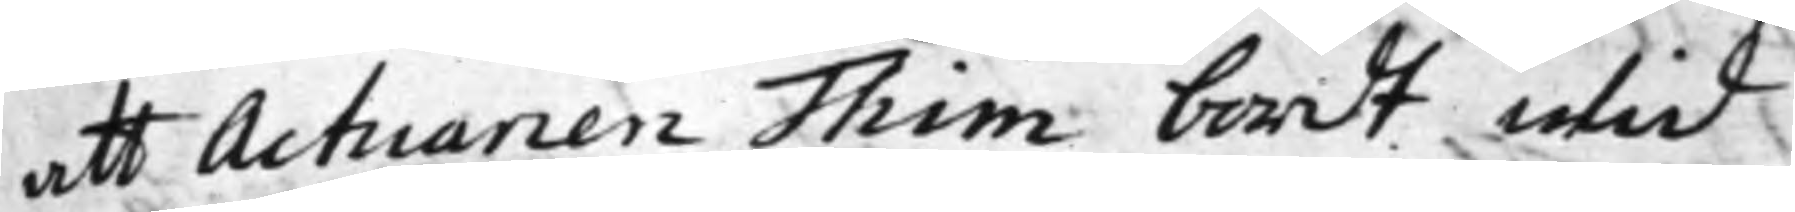att Actuarien Thim bordt wid
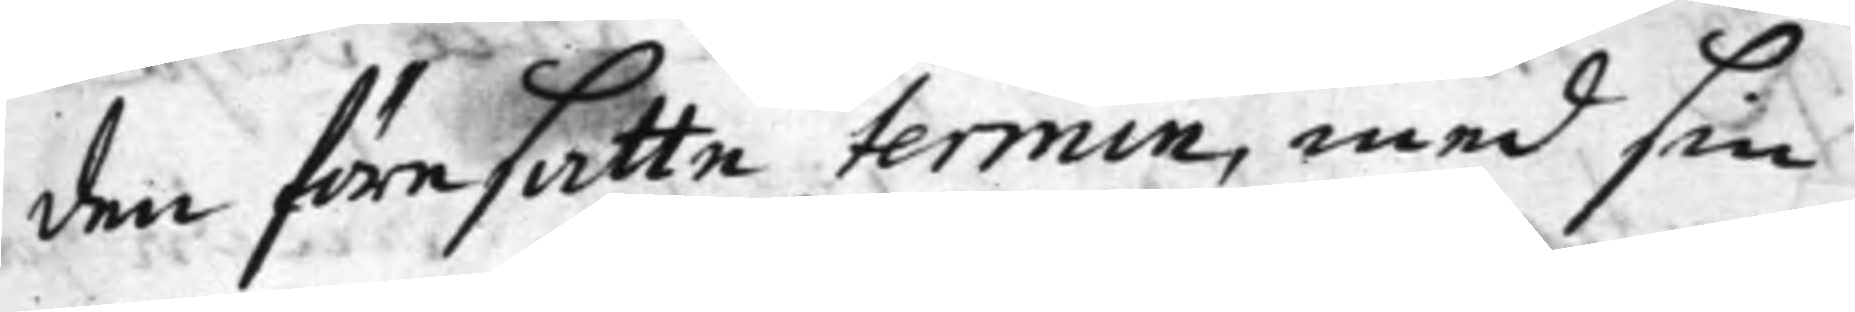den föresatte termin, med sin
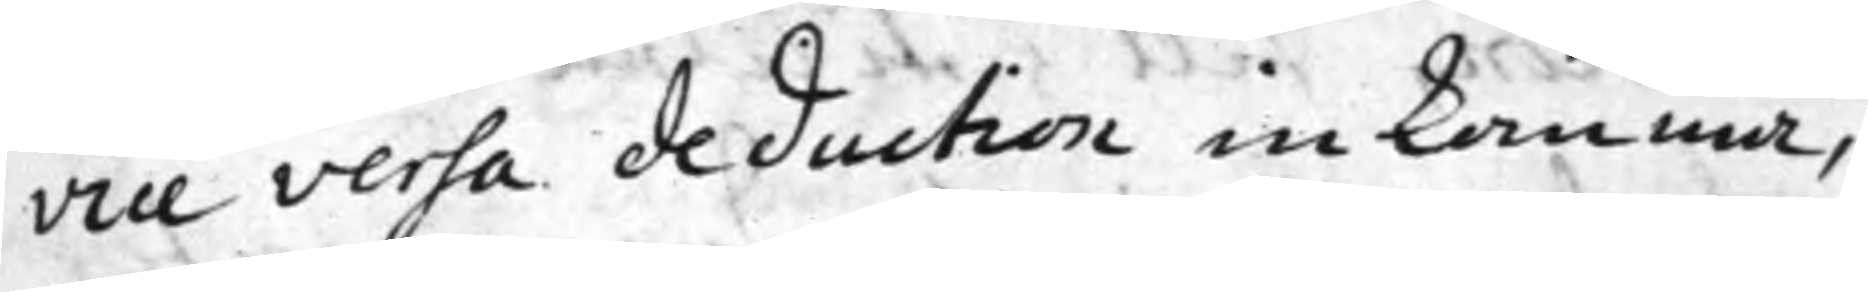vice versa deduction inkomma,
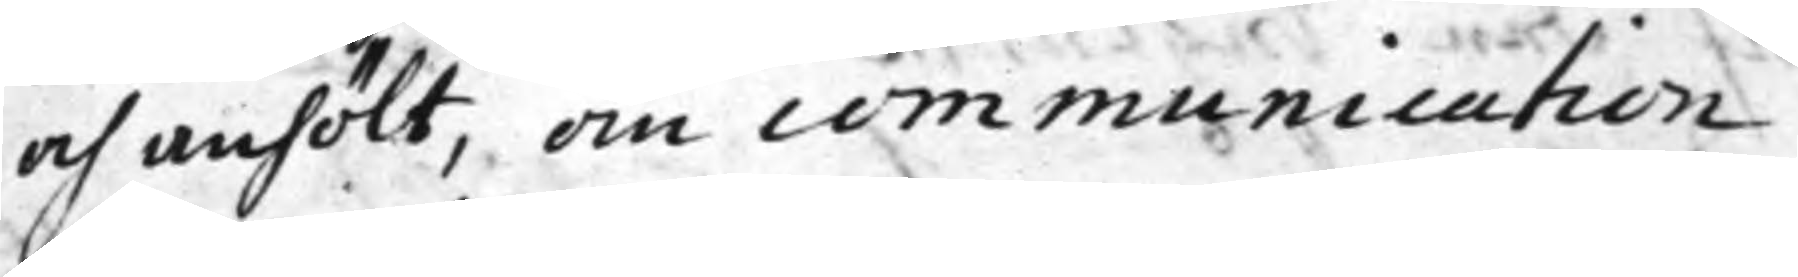och anhölt, om communication
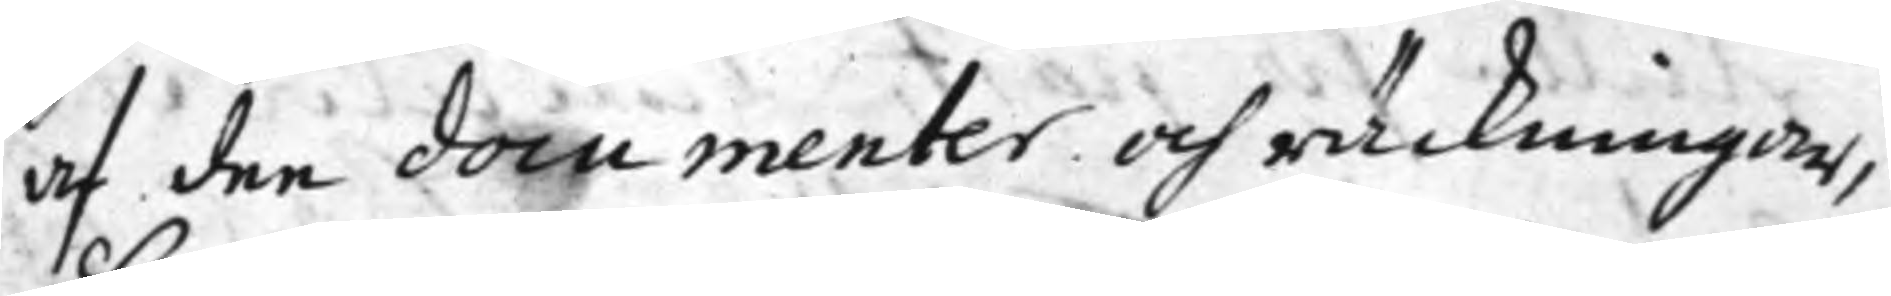af dee documenter och räckningar,
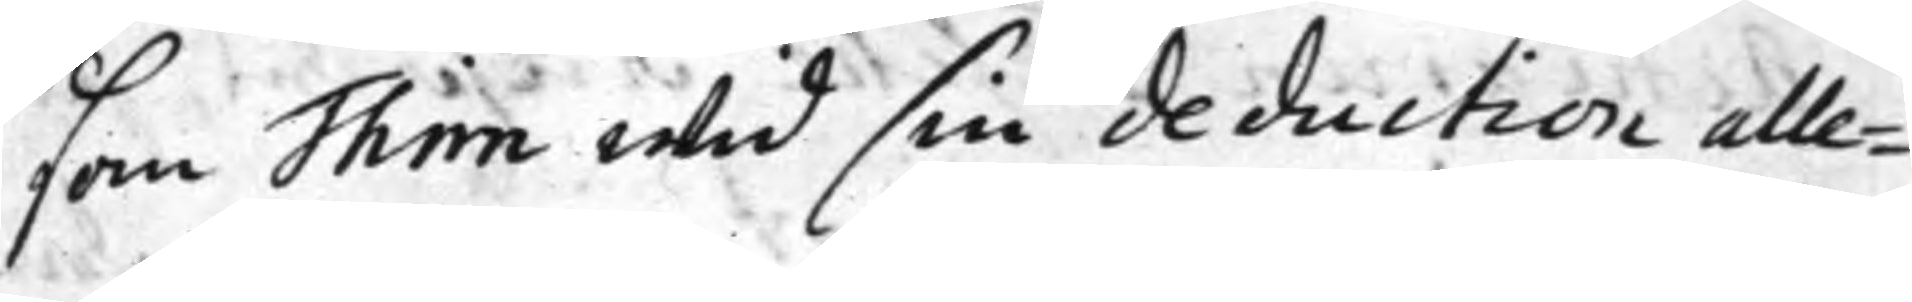som Thim wid sin deduction alle¬
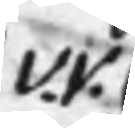v. v.
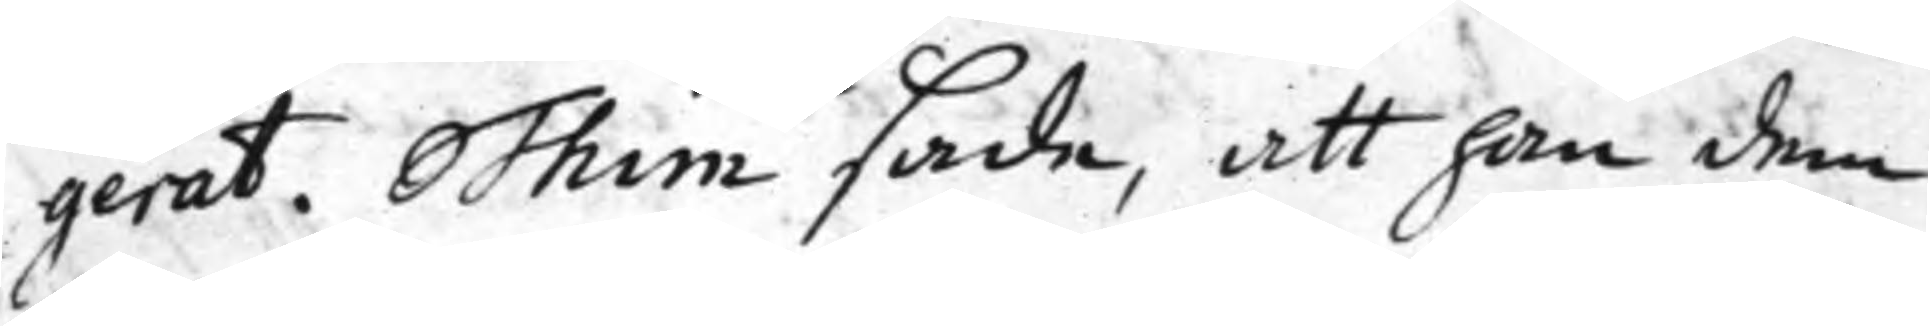gerat. Thim sade, att han dem
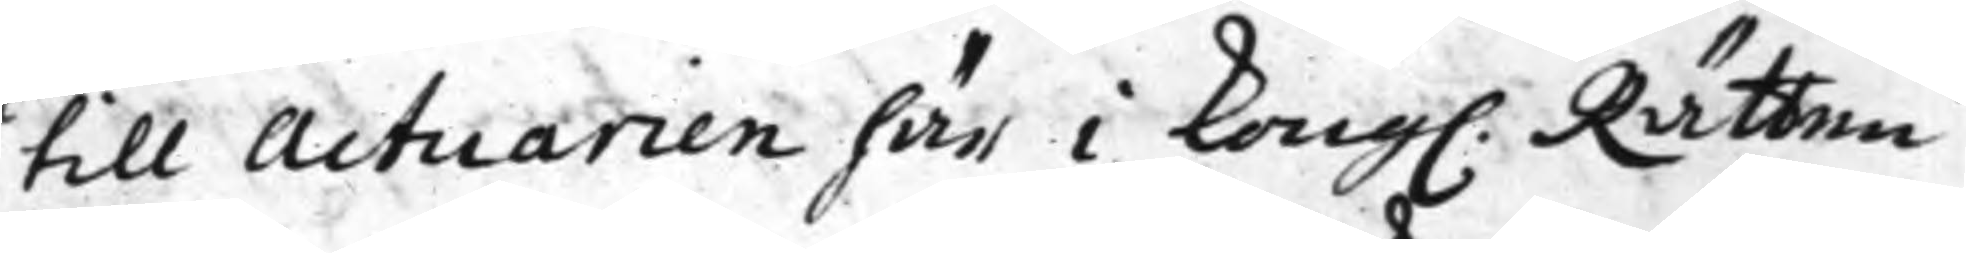till Actuarien här i Kong. Rätten
